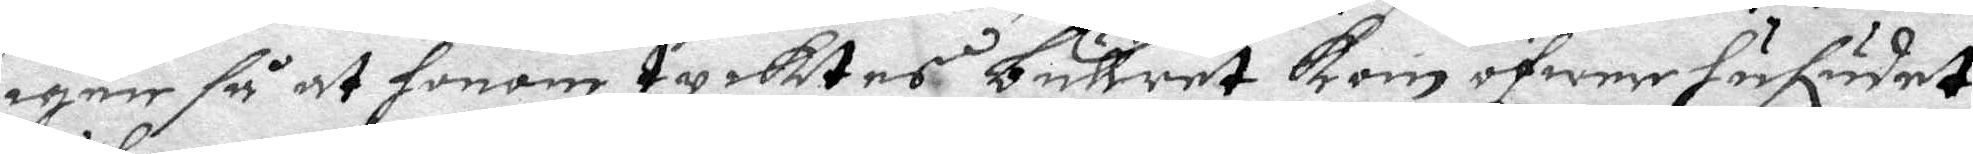igen så at honom tycktes bullret kom öfwer hufudet
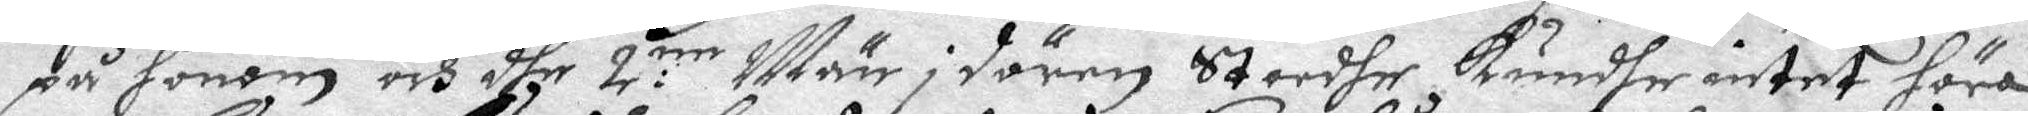på honom och dhe 2:ne Män i dören Stoodhe kundhe intet höra
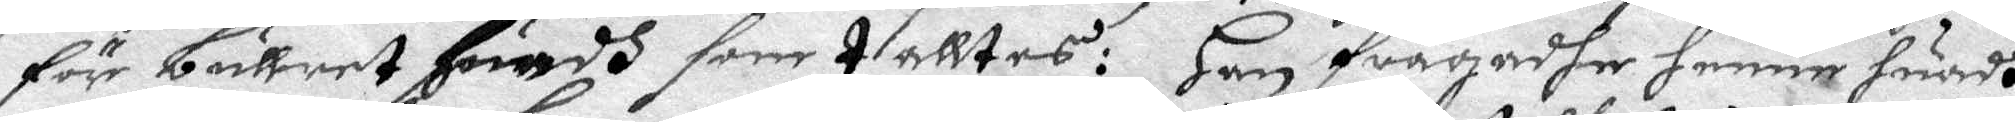för bullret Huadh som talltes: Han frågadhe henne huadh
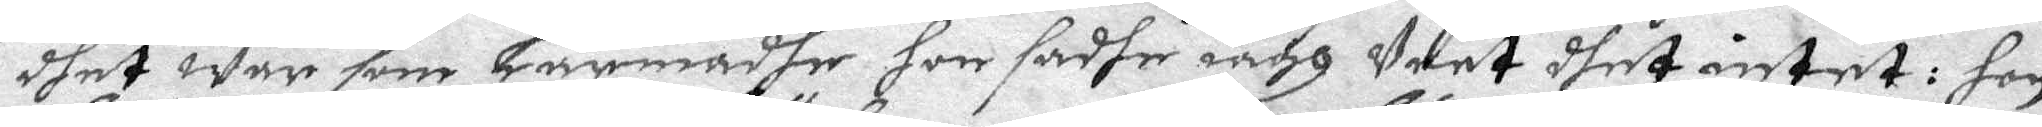dhet war som Larmadhe hon sadhe iagh weet dhet intet: hon
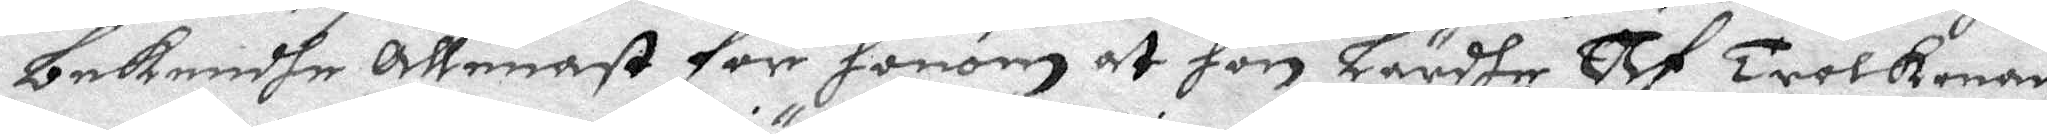bekendhe Allenast för honom at hon Lärdhe Af trolkonan
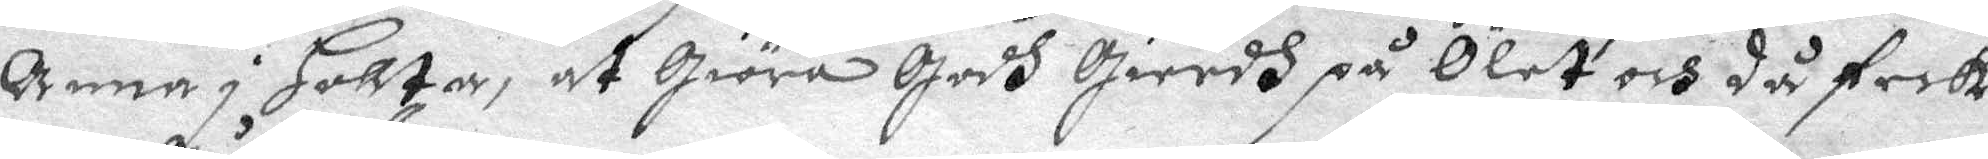Anna i Hollta, at giöra godh gierdh på Ölet och då feck
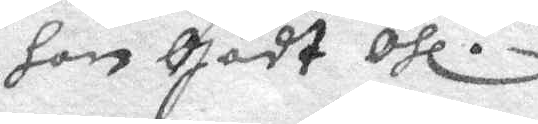hon gådt Öhl.
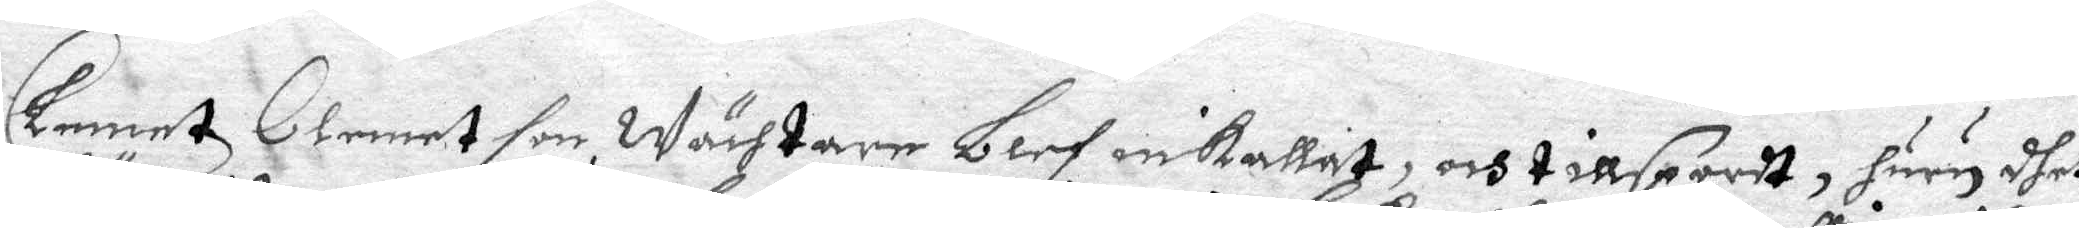Clementz Clement son wächtare Blef inkallat, och tillspordt, huru dhet
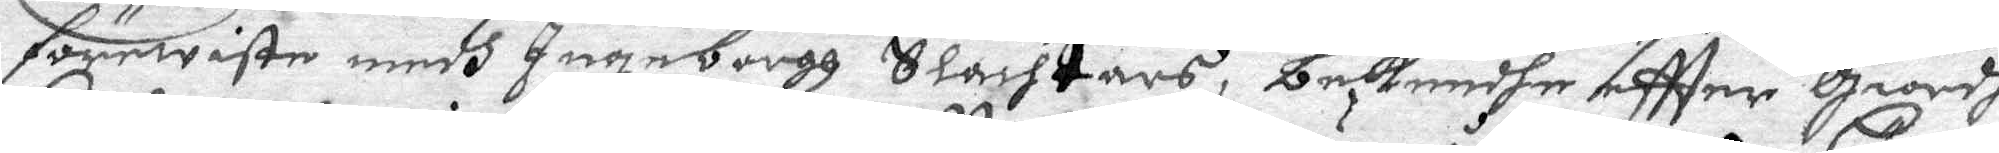förewiste medh Ingeborgh Slachtars, bekendhe eftter giordh
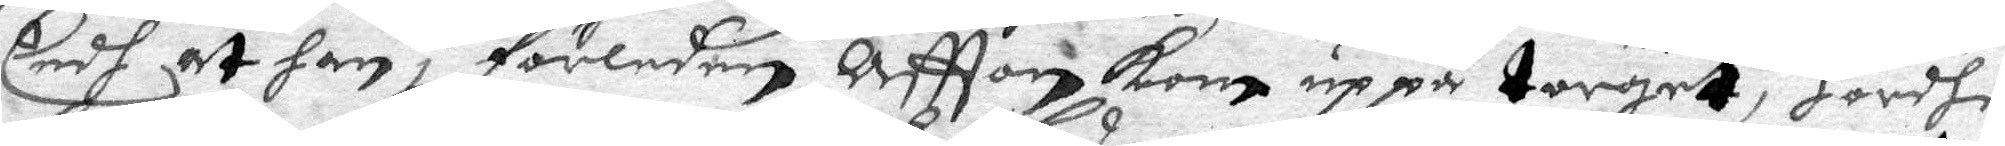Eedh at han i förledne Aftton kom up på torget, Hördhe
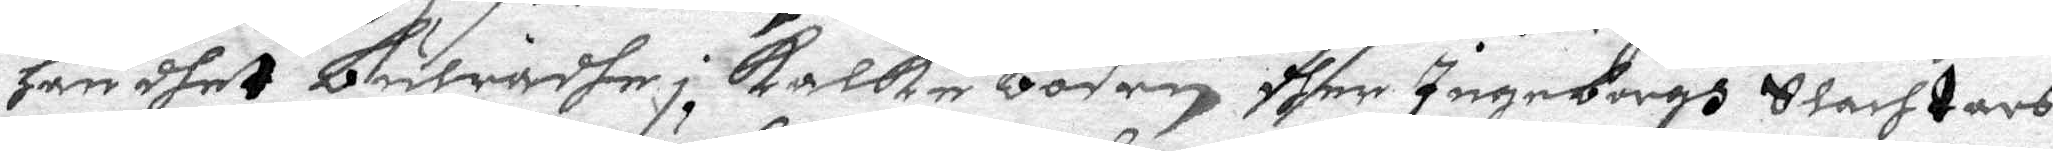han dhet Bulradhe i kalke Boden dher Ingeborgh Slachtars
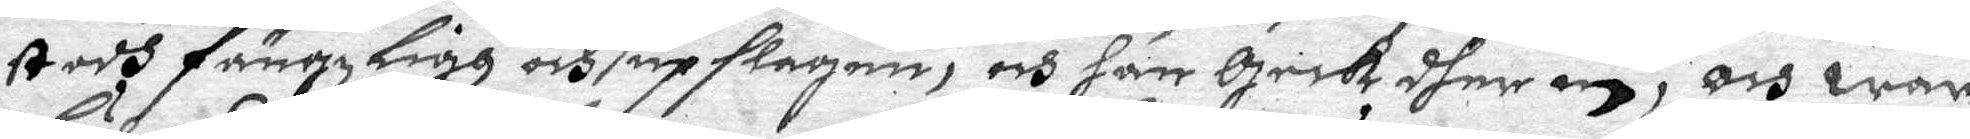stodh fängzligh och upslagen, och han geck dher in, och war
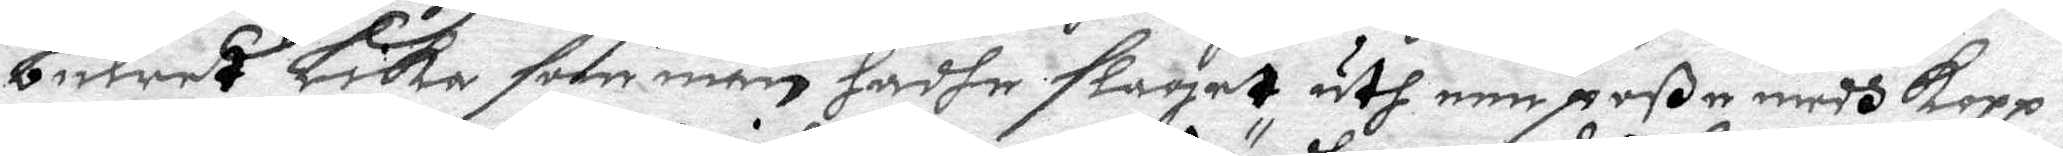Bulret Lika som man hadhe slaget uth een poße medh kopp¬
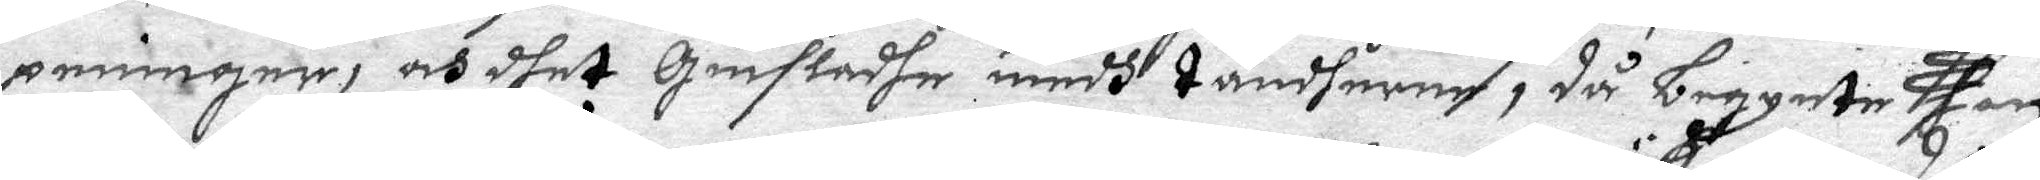penningar, och dhet giefladhe medh tändherne, då Begynte han
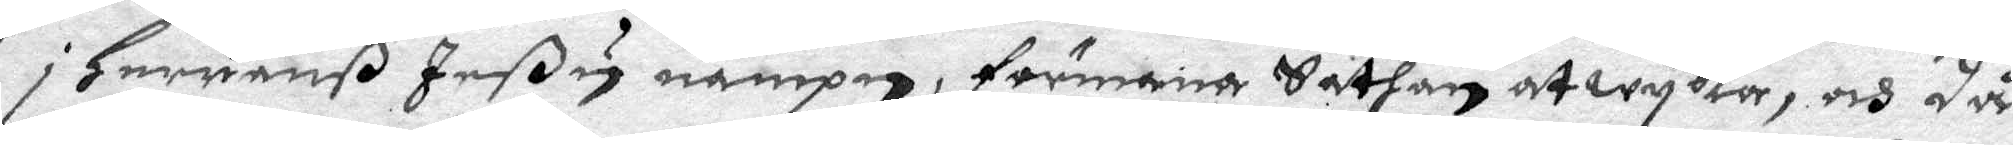i Herranß Jeßu nampn, förmana Sathan at wyka, och då
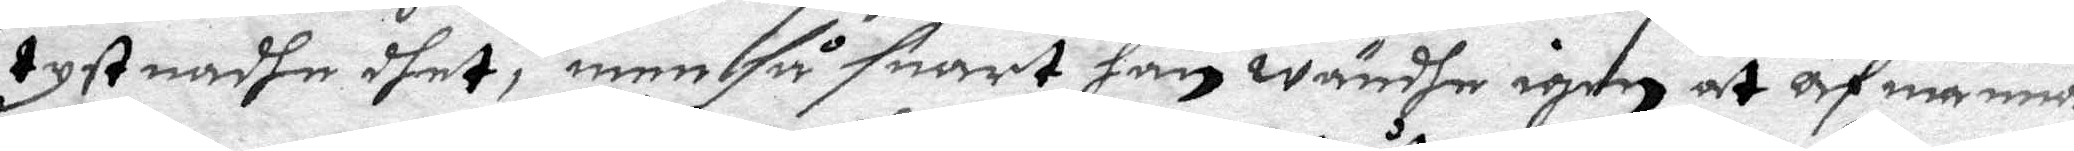tystnadhe dhet, men så snart han wändhe igen at afmanna
